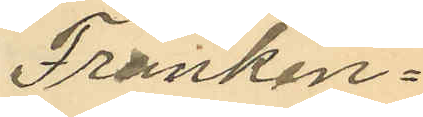Franken¬
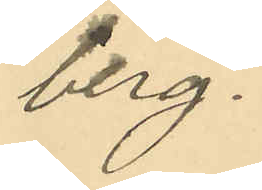berg.
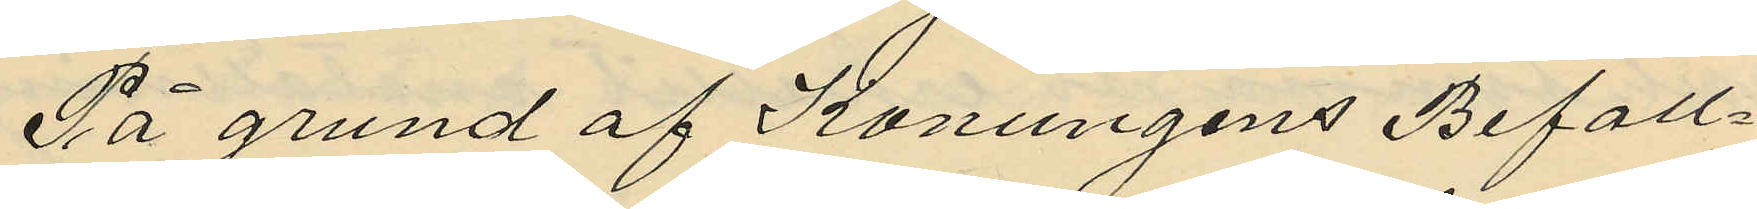På grund af Konungens Befall¬
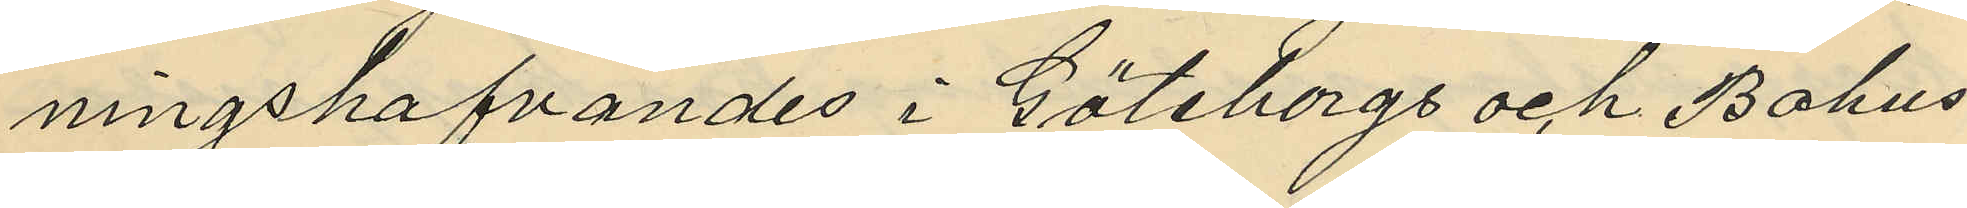ningshafvandes i Göteborgs och Bohus
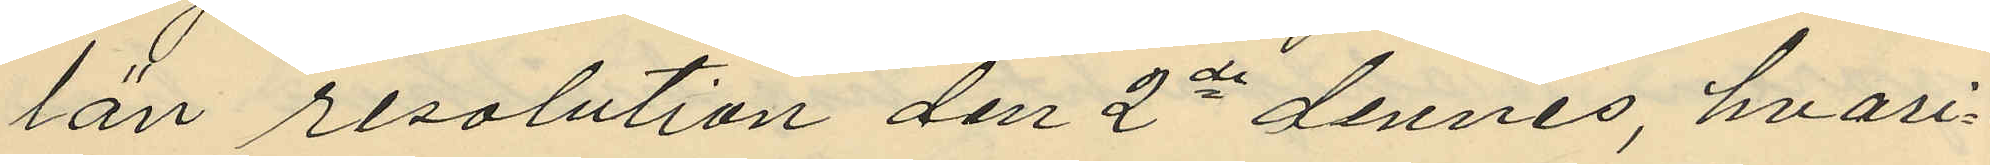län resolution den 2de dennes, hvari¬
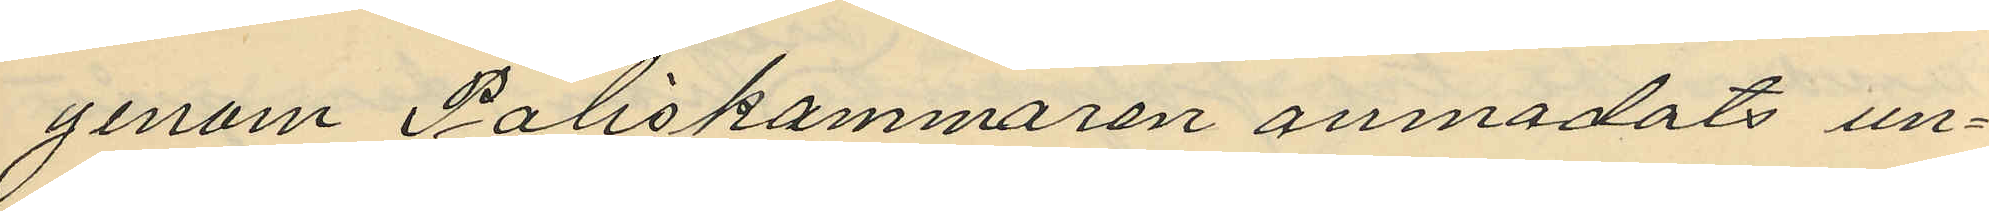genom Poliskammaren anmodats un¬
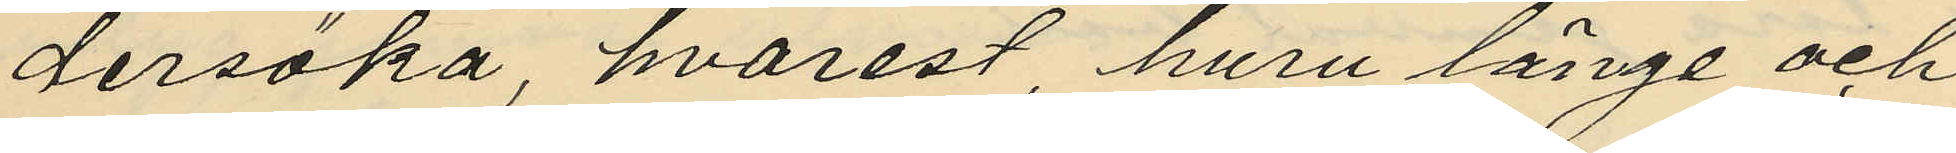dersöka hvarest, huru länge och
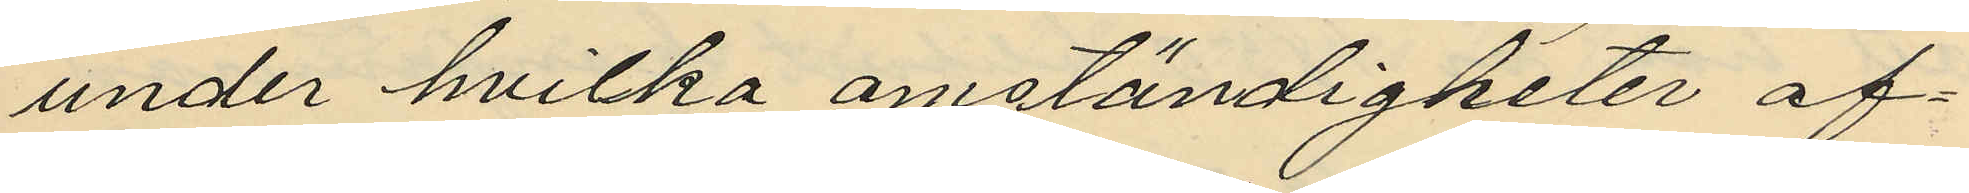under hvilka omständigheter af¬
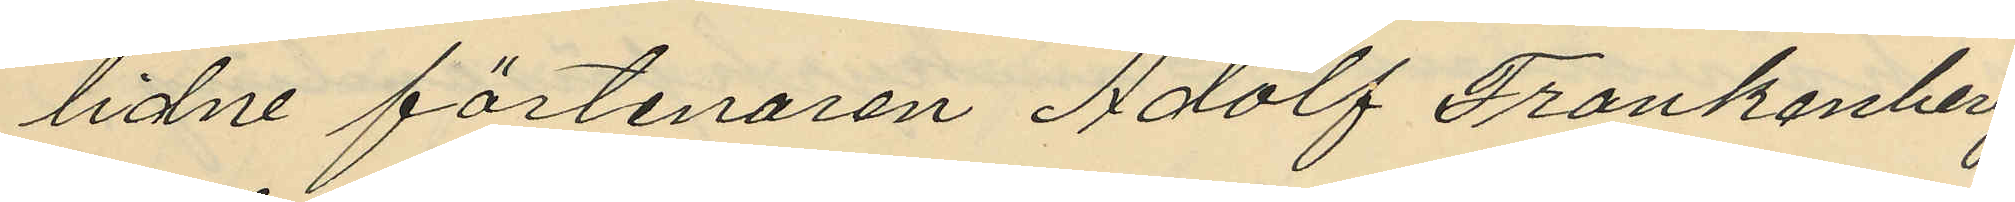lidne förtenaren Adolf Frankenberg
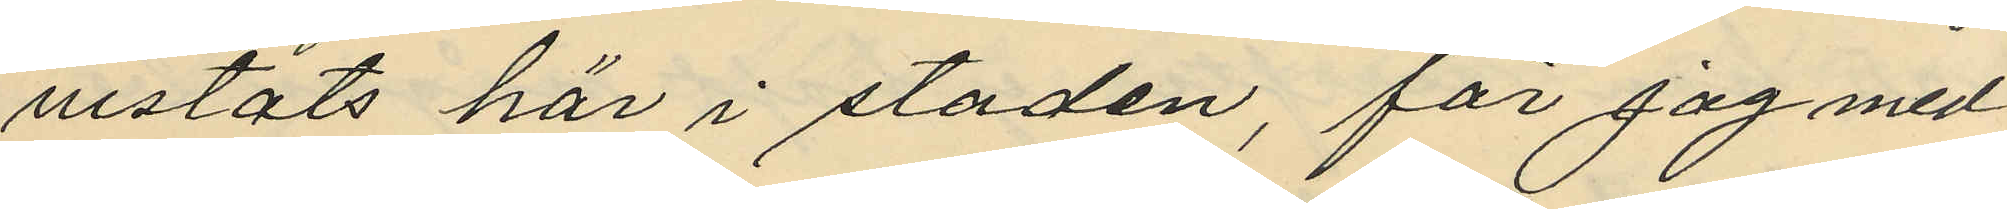vistats här i staden, får jag med
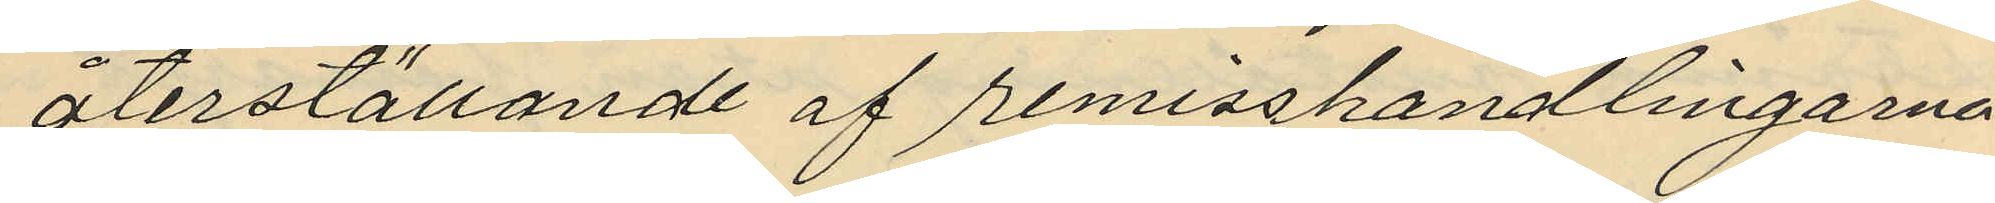återställande af remisshandlingarna
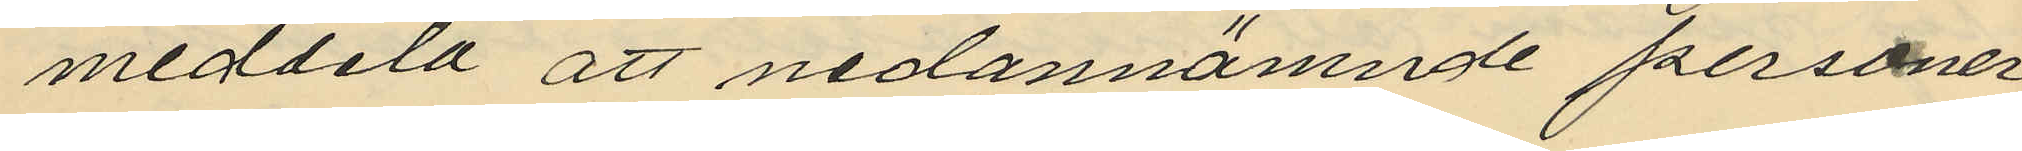meddela att nedannämnde personer
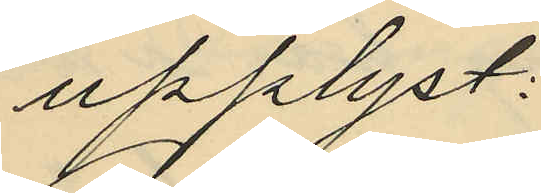upplyst:
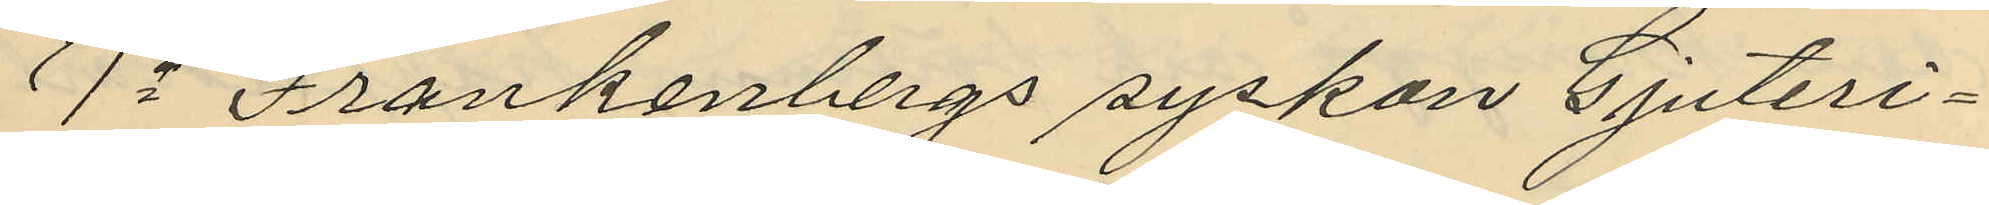1o Frankenbergs syskon Gjuteri¬
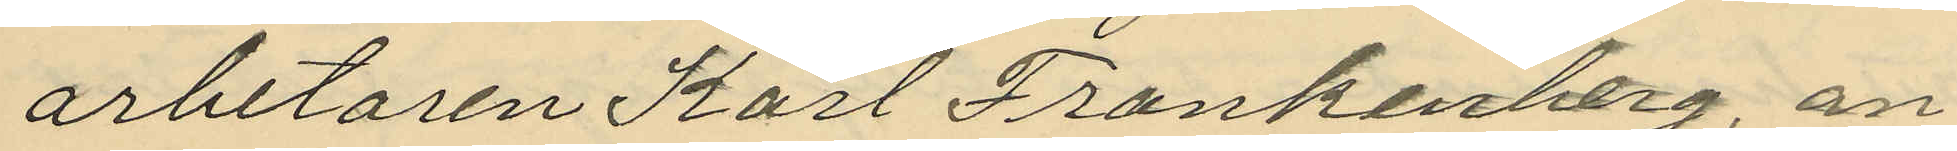arbetaren Karl Frankenberg, an¬
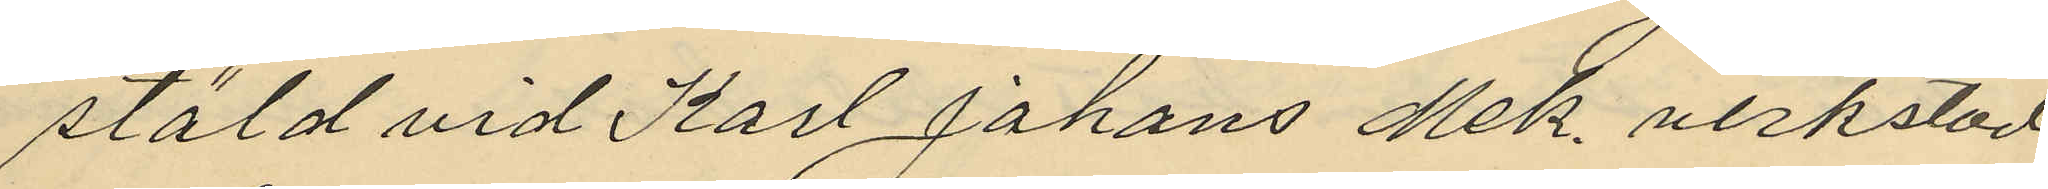stäld vid Karl Johans Mek. verkstad
